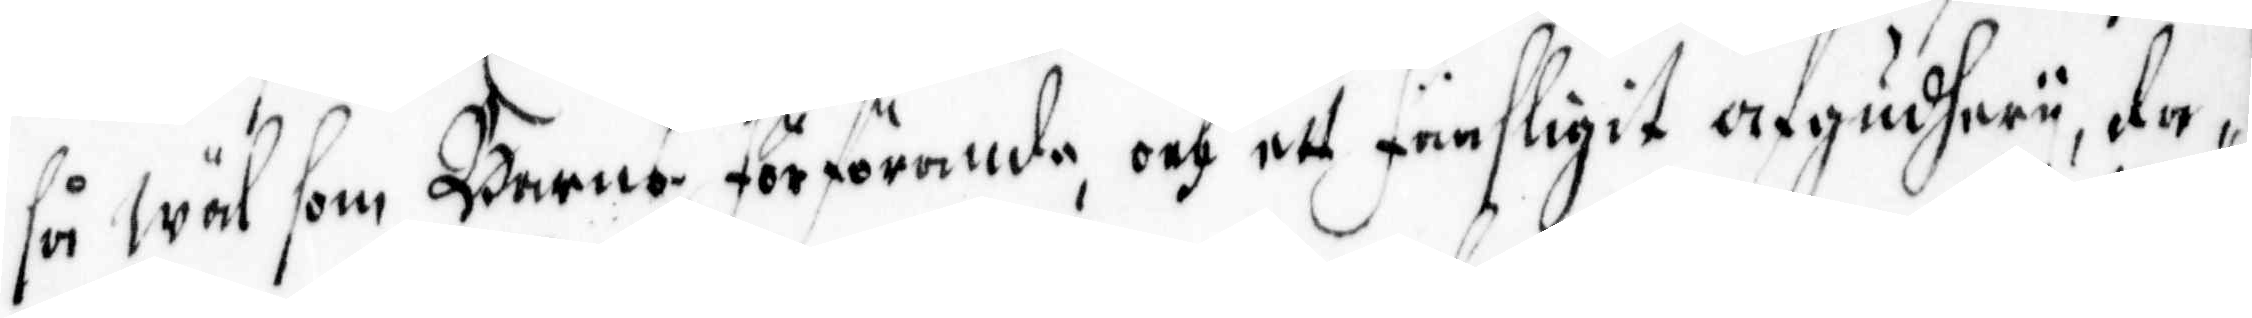så wäl som Barns Förförande, och ett Fänsligit afgudherii, da¬
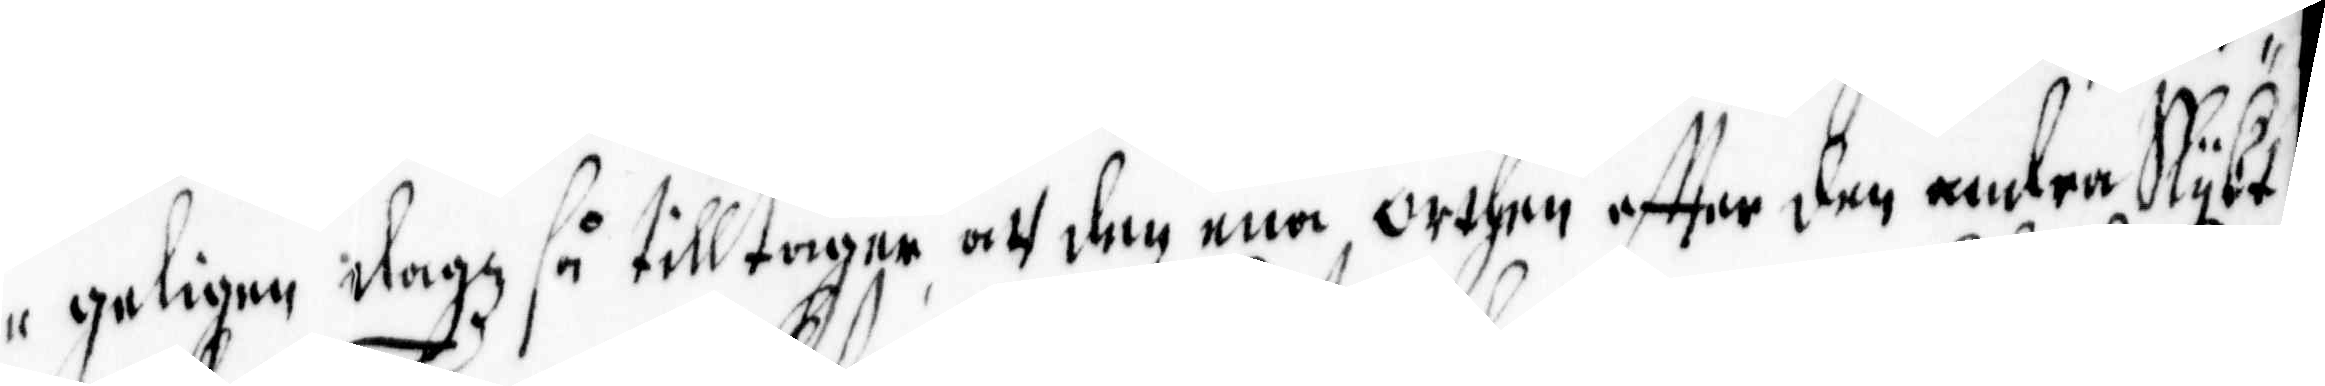geligen dagz så tilltager att den ena Orthen effter den andra Slijkt
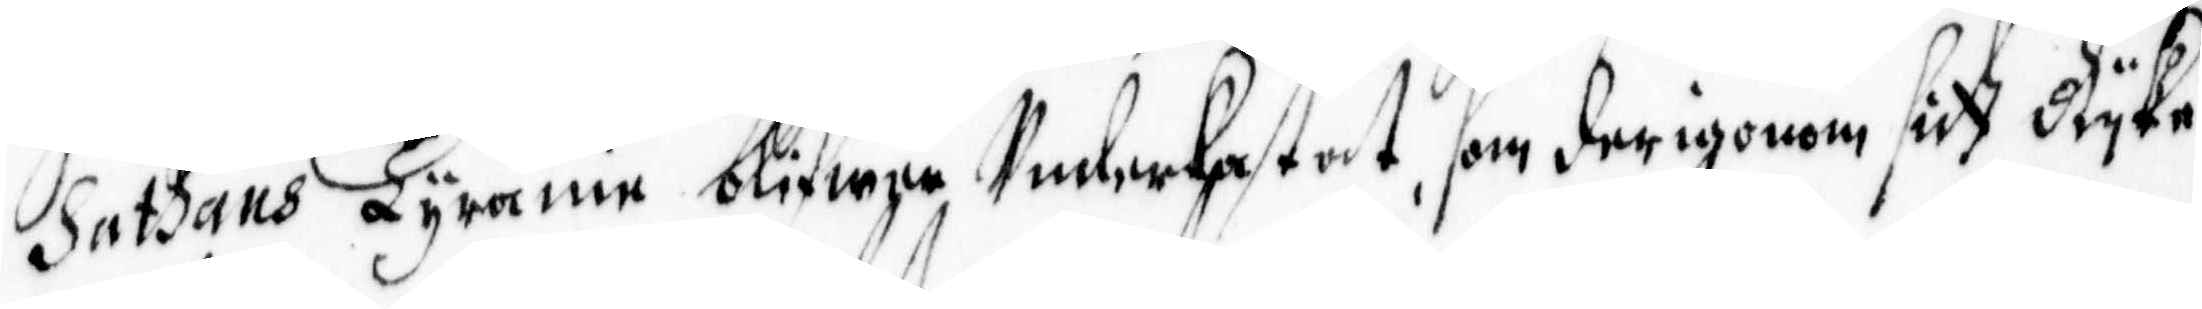Sathans Tyranie blifwer Underkastat, som derigenom sitt Rijke
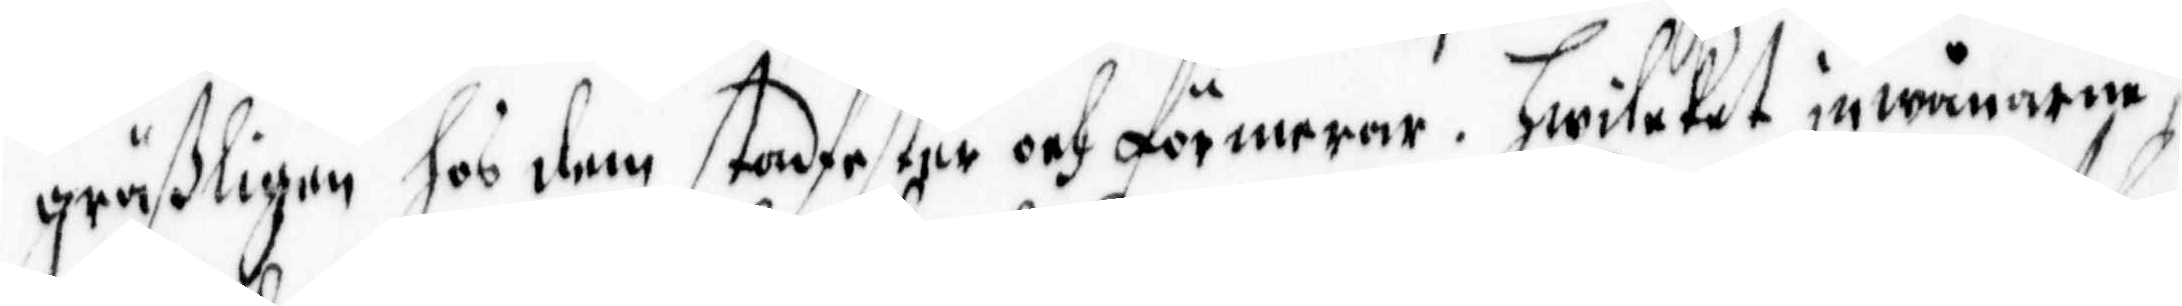gräßligen hos dem stadfester och förmerar, Hwilcket jnwånarne,
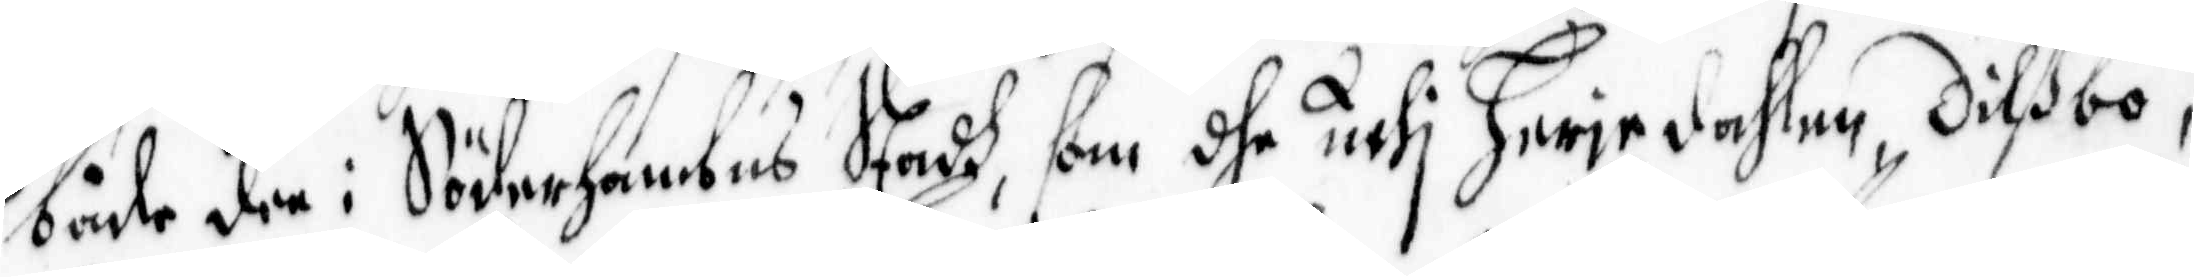både dee i Söderhambns Stadh, som dhe uthi Heriedahlen, Dilßbo,
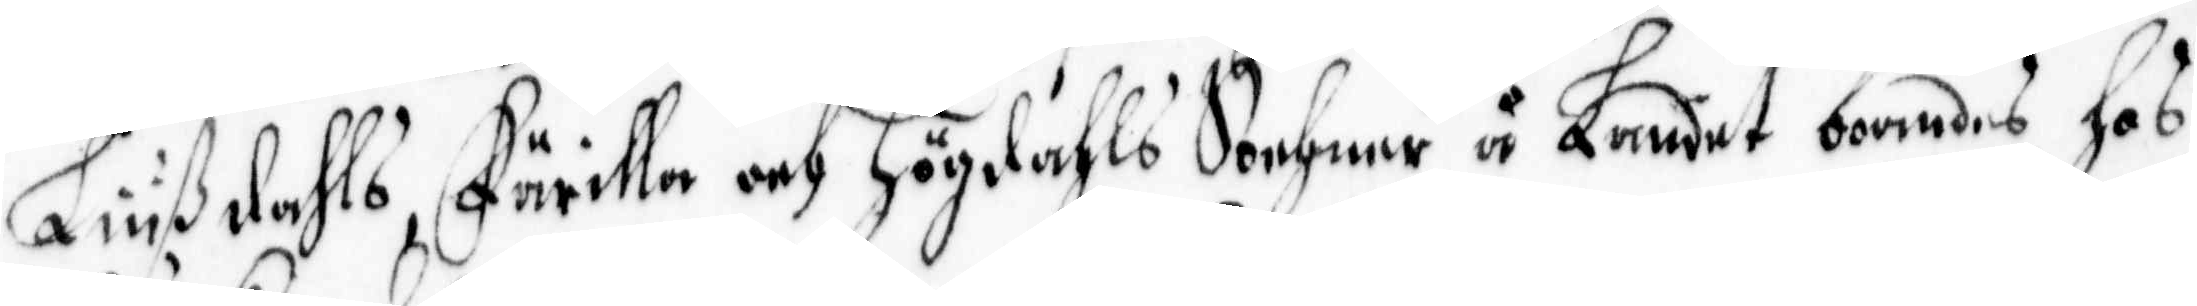Liußdahls, Färilla och Högdahls Sochnar å Landet boendes, hos
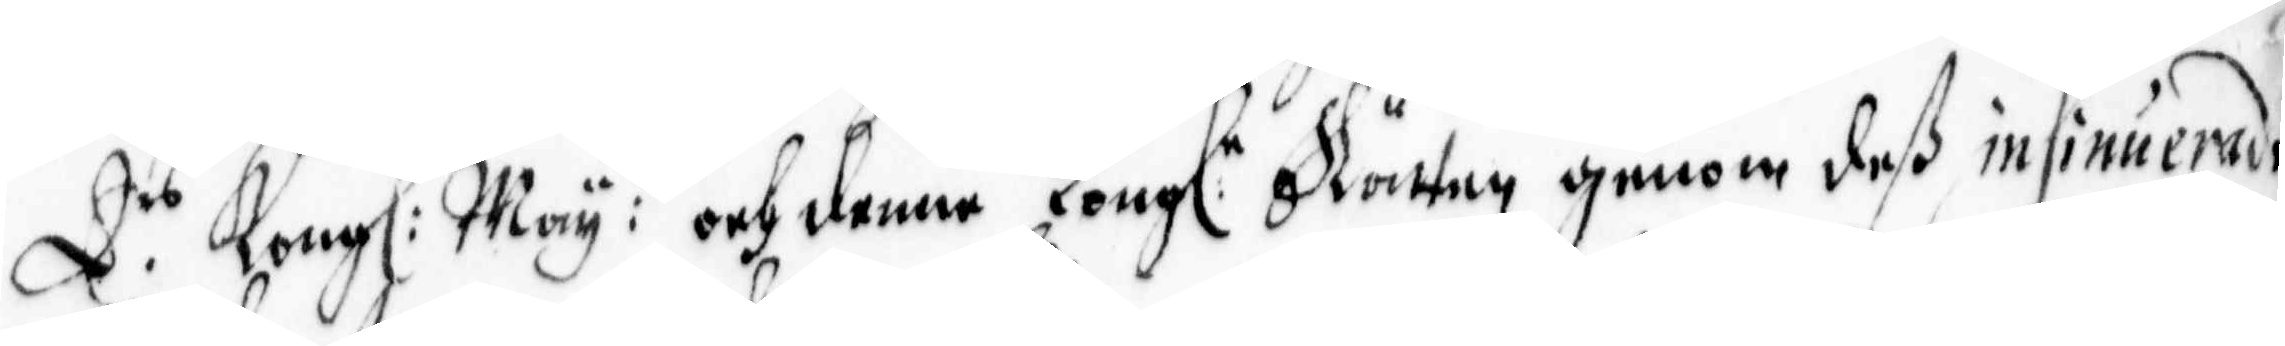E.rs Kong: May:tt och denne Kong.e Rätten genom deß insiniuerade
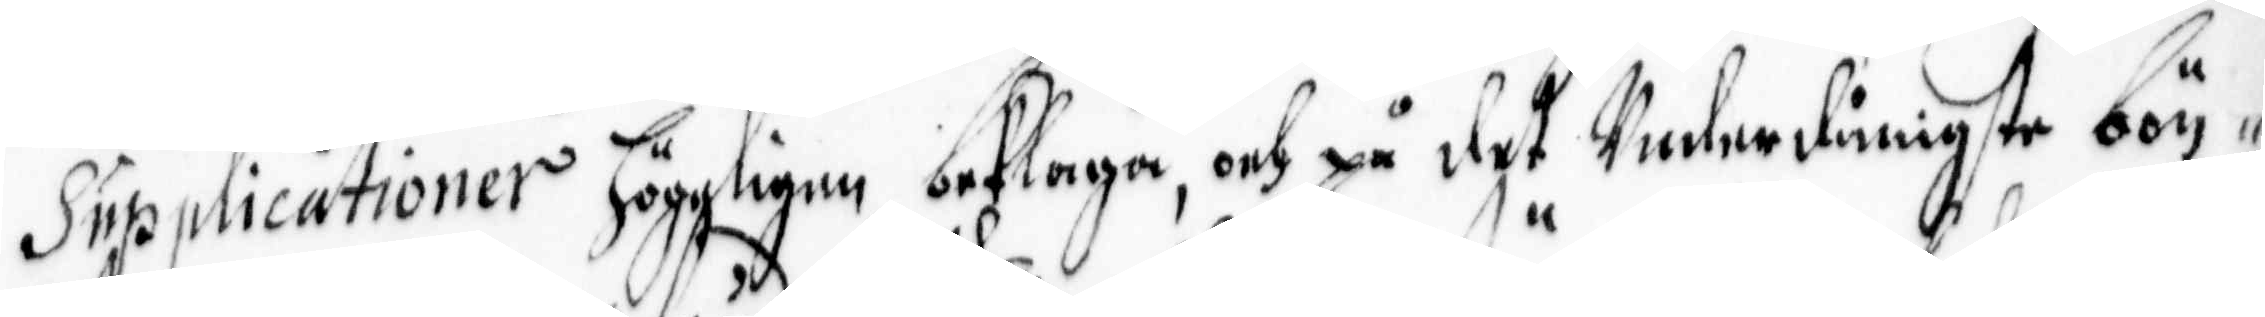Supplicationer högeligen beklaga, och på det Underdånigste bön¬
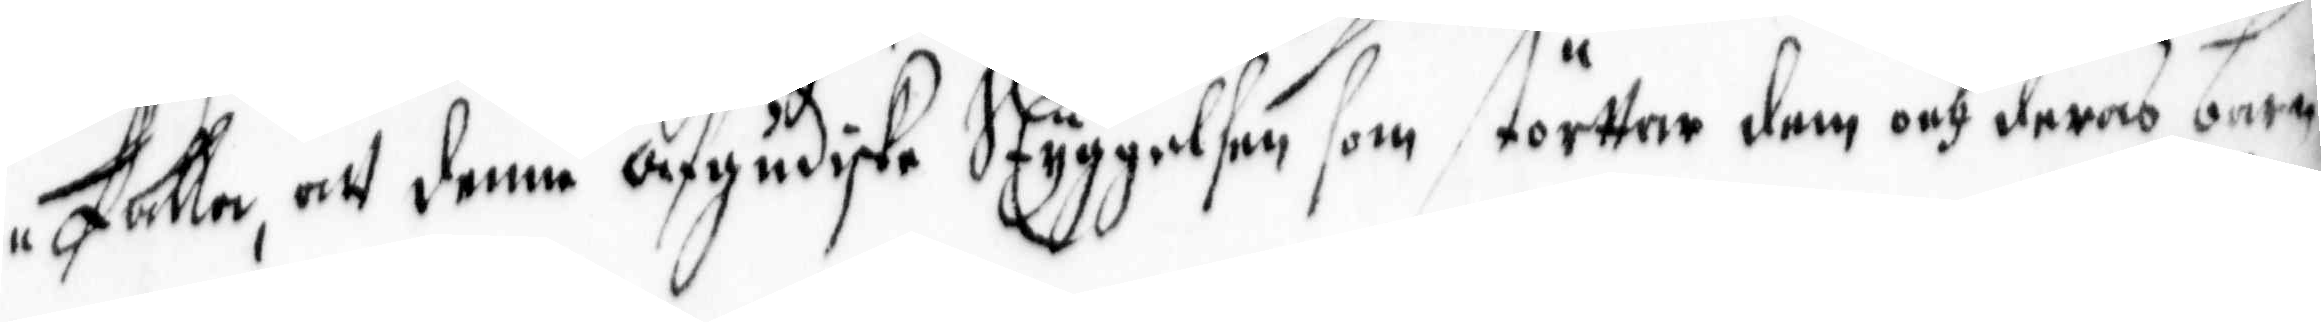falla, att denna afgudiske Styggelsen som störttar dem och deras barn
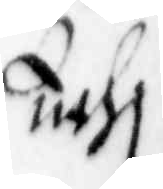uthj
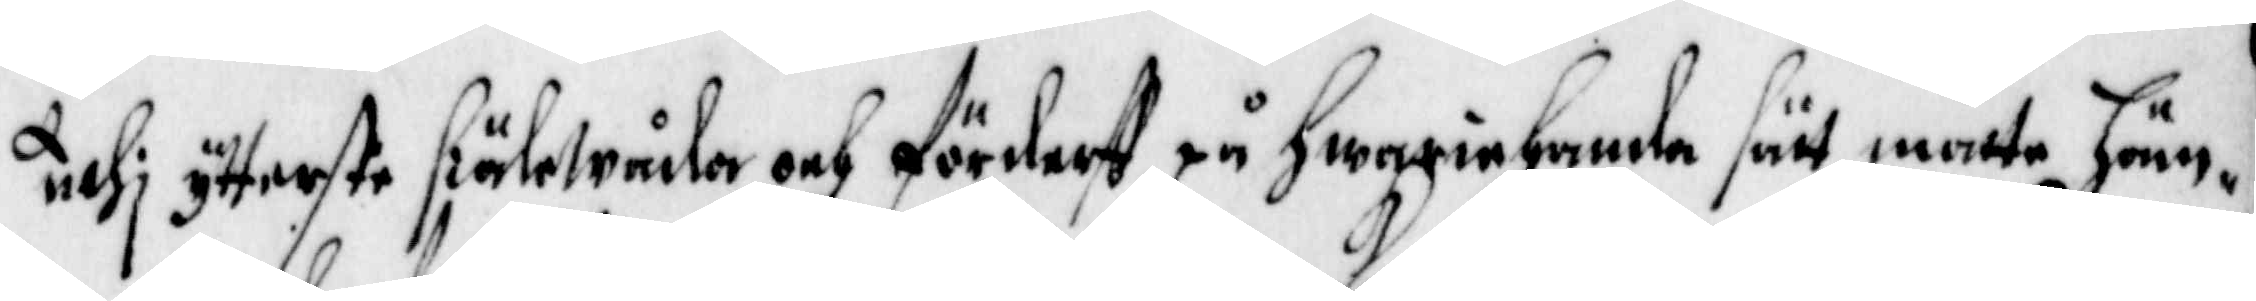uthj ytterste siälewådor och förderff på hwariehanda sätt måtte häm¬
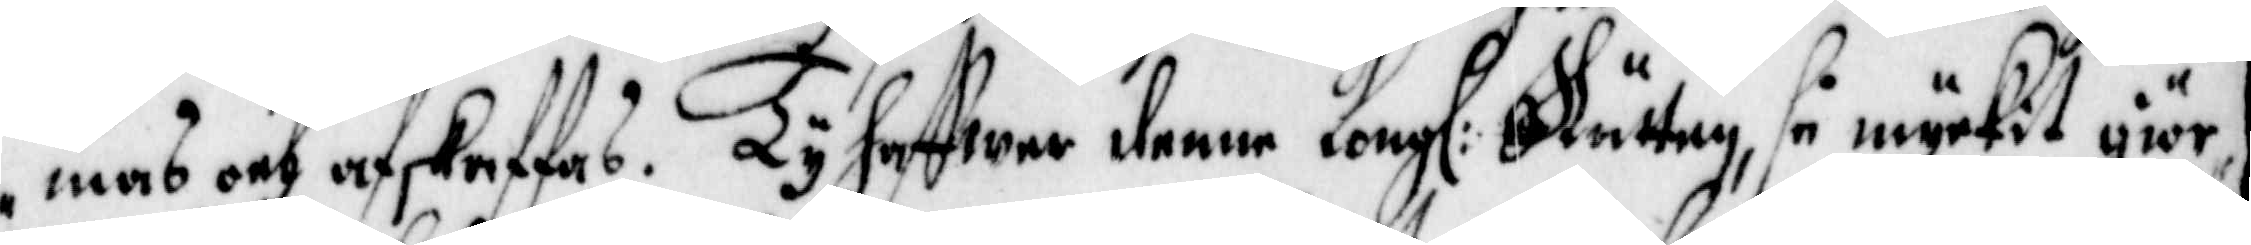mas och afskaffas. Ty haffwer denne Kongl: Rätten, så myckit giör¬
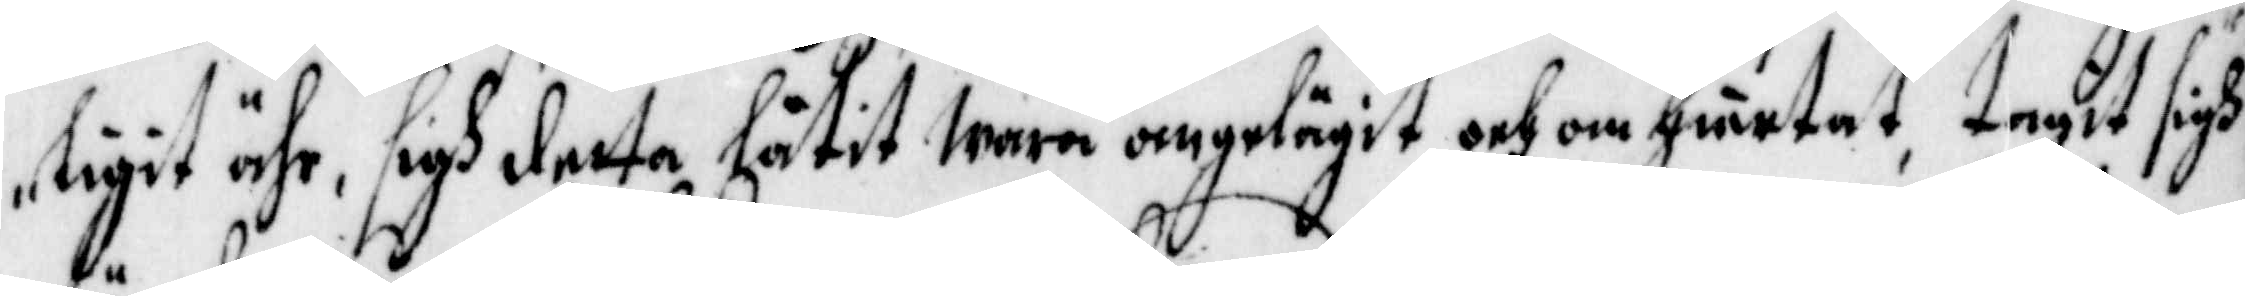ligit ähr, sigh detta låtit wara angelägit och omhiertat tagit sigh 
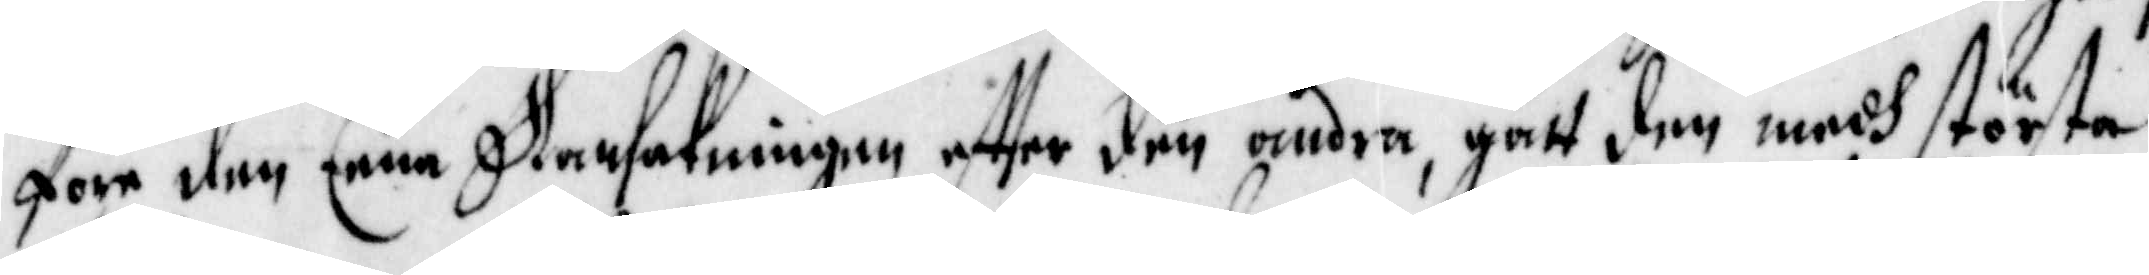före den Eena Ransakningen effter den andra, gått den medh största
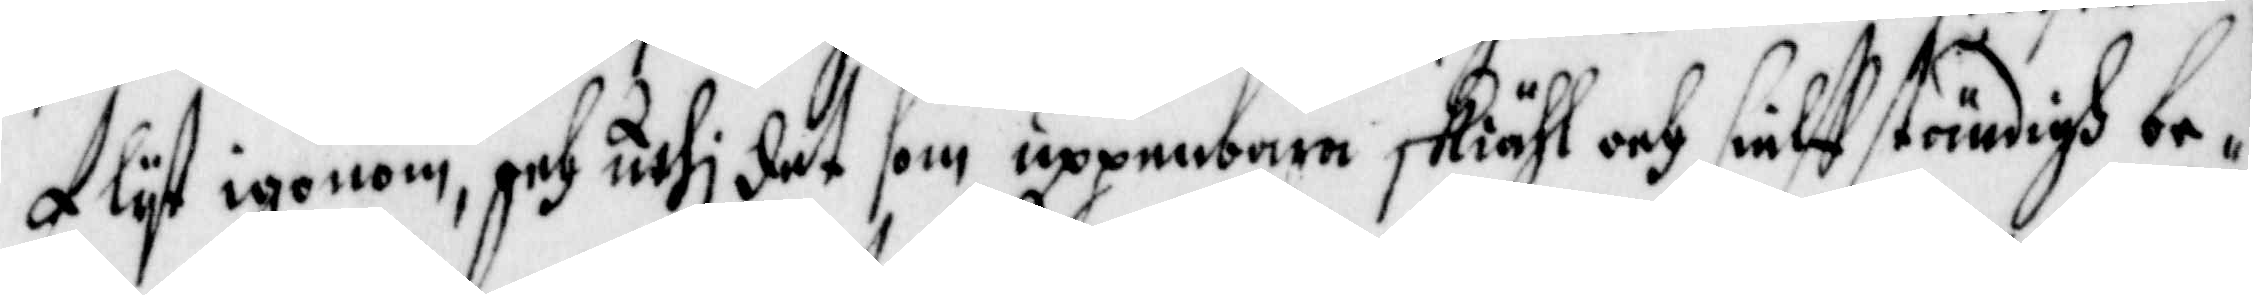flijt igenom, och uthj det som uppenbara skiähl och sielff ständigh be¬
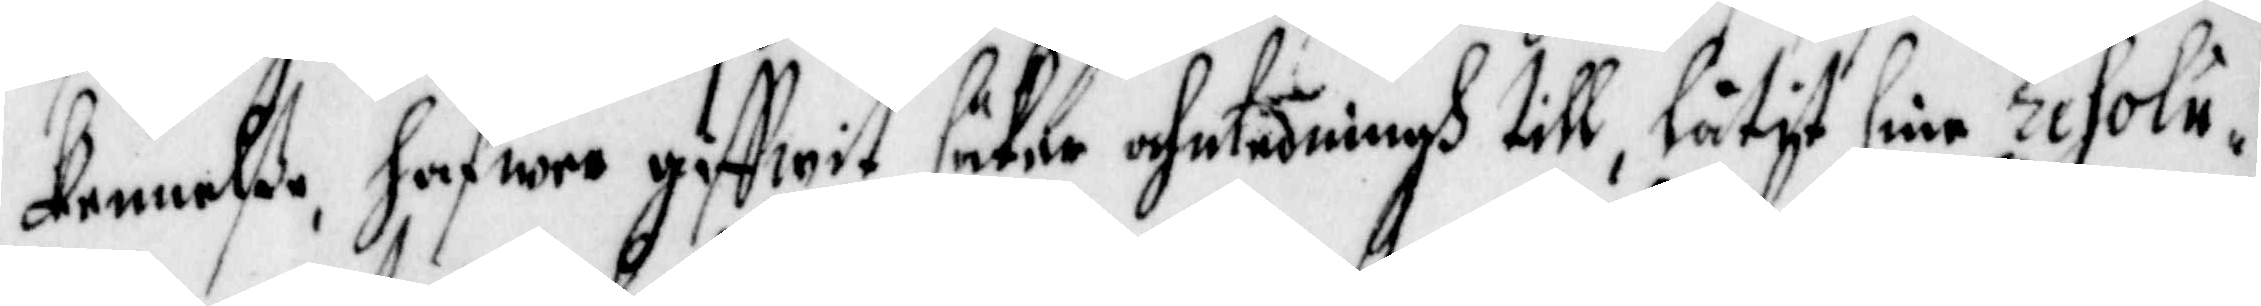kennelse hafwer giffwit säker ahntudningh till, låtit sine resolu¬
